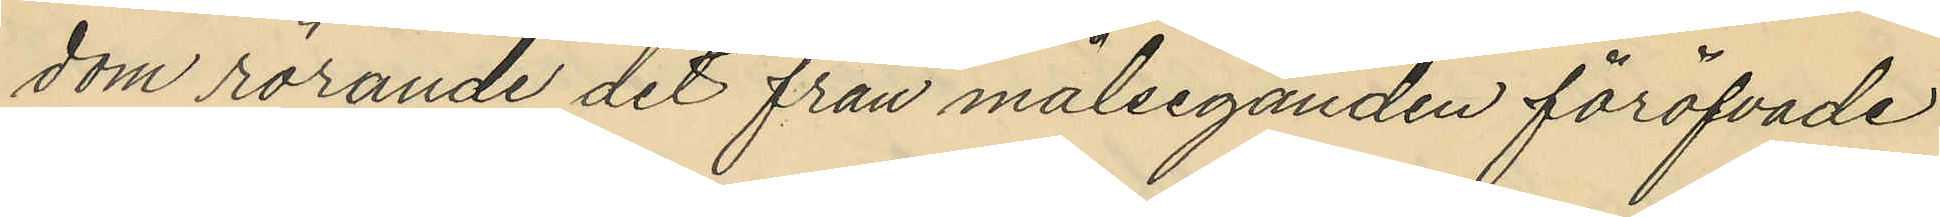dom rörande det från målseganden föröfvade
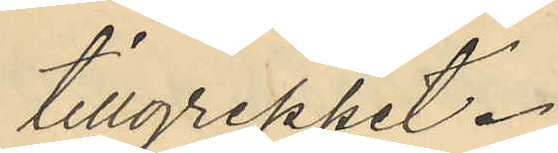tillgreppet.
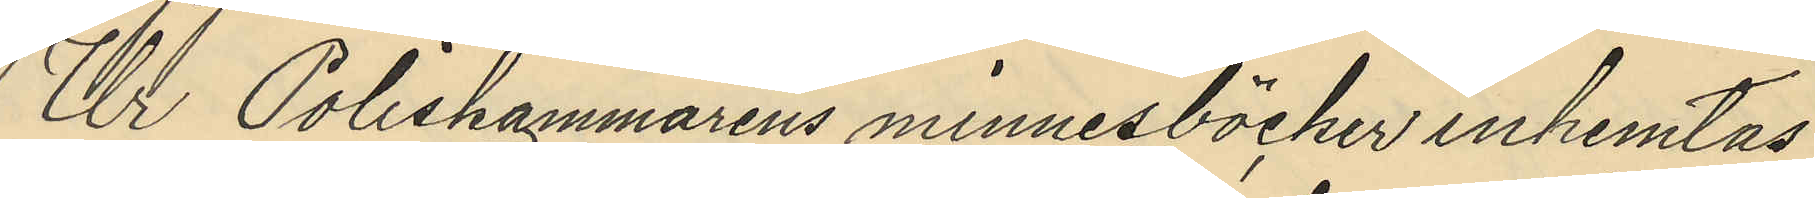Ur Poliskammarens minnesböcker inhemtas
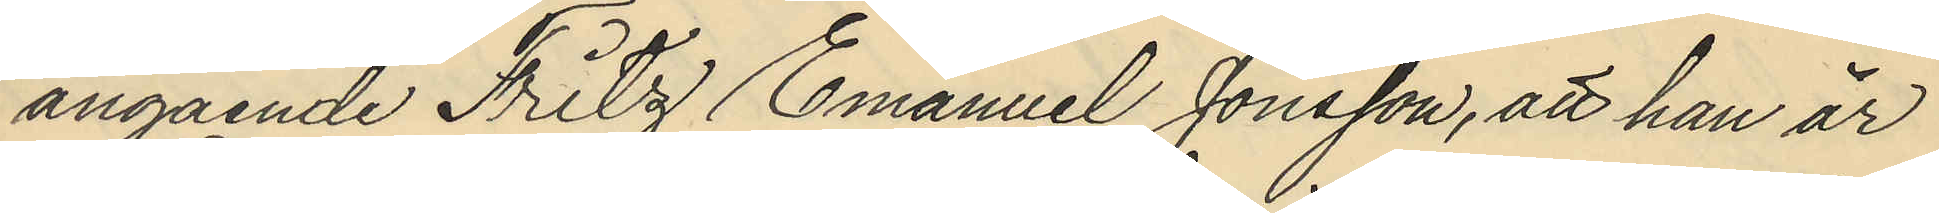angående Fritz Emanuel Jonsson, att han är
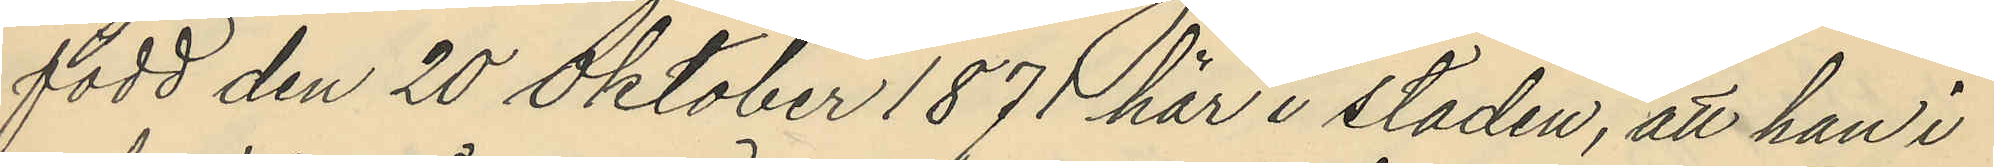född den 20 Oktober 1871 här i staden, att han i
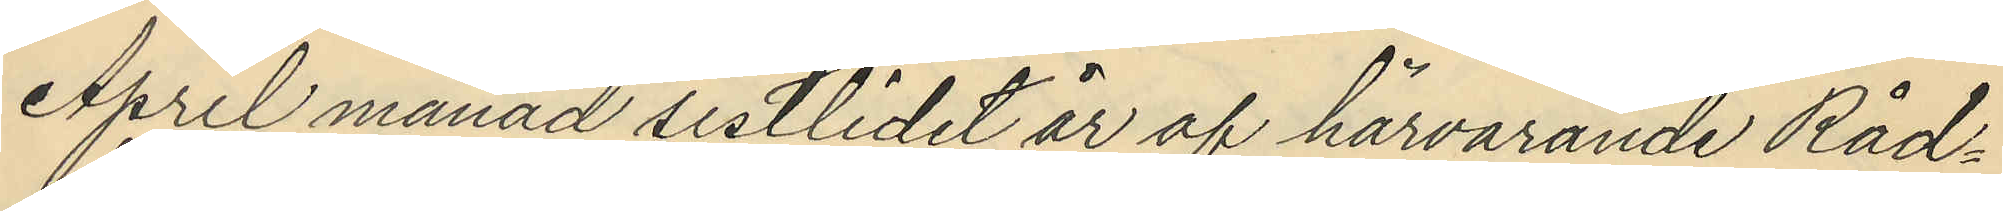April månad sistlidet år af härvarande Råd¬
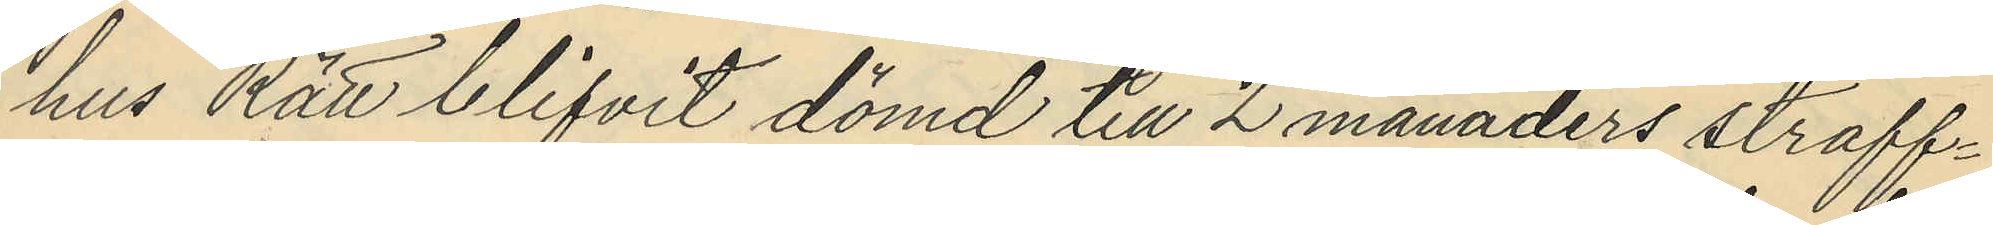hus Rätt blifvit dömd till 2 månaders straff¬
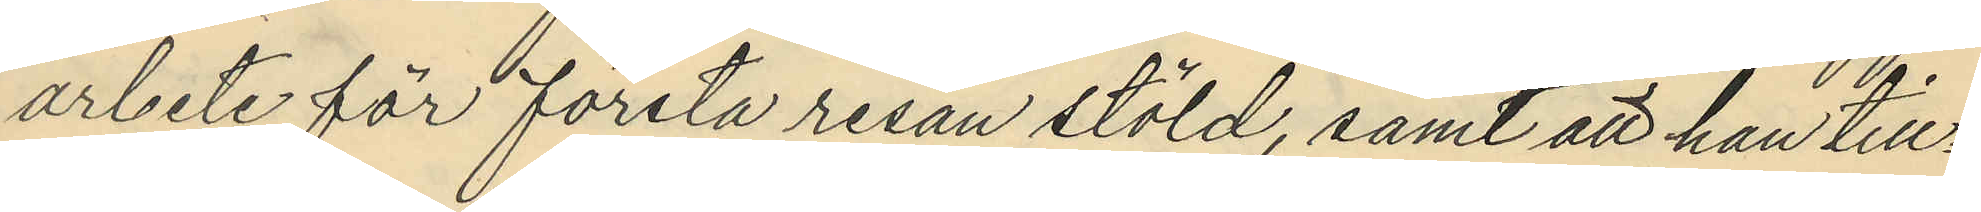arbete för första resan stöld, samt att han till¬
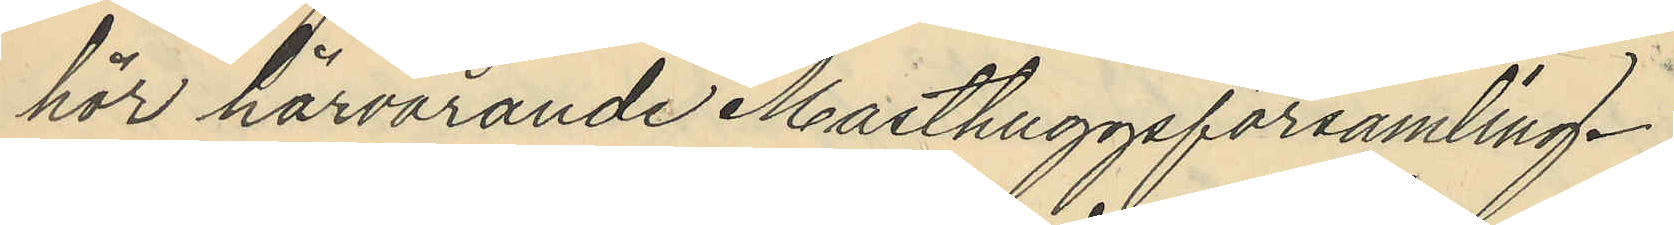hör härvarande Masthuggsförsamling.
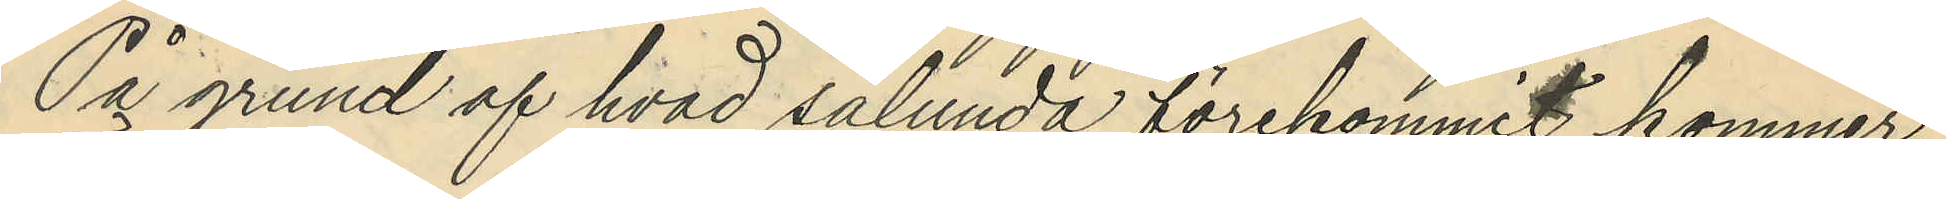På grund af hvad sålunda förekommit kommer
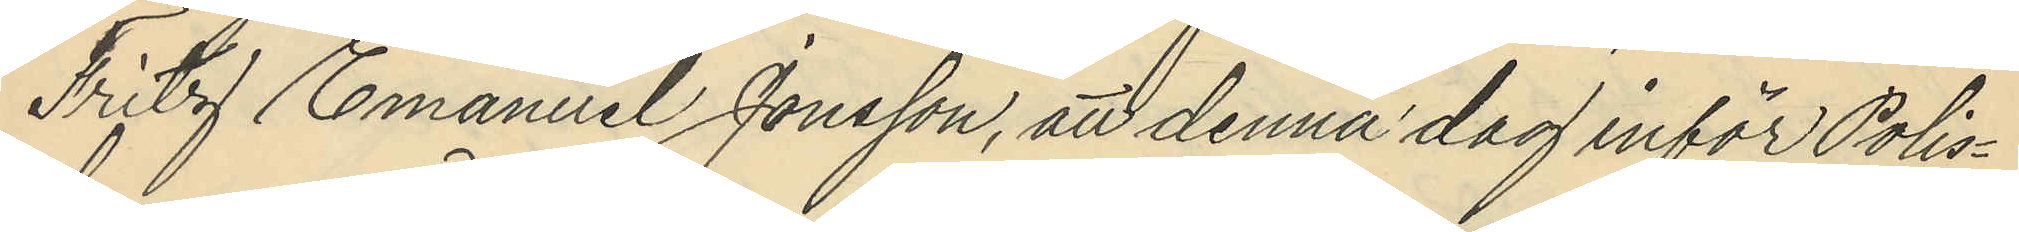Fritz Emanuel Jonsson, att denna dag inför Polis¬
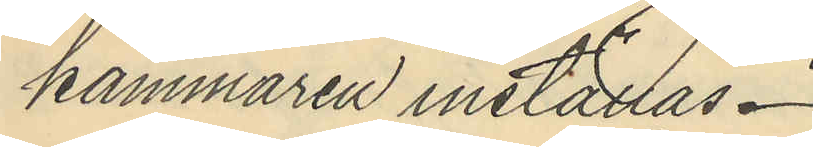kammaren inställas.
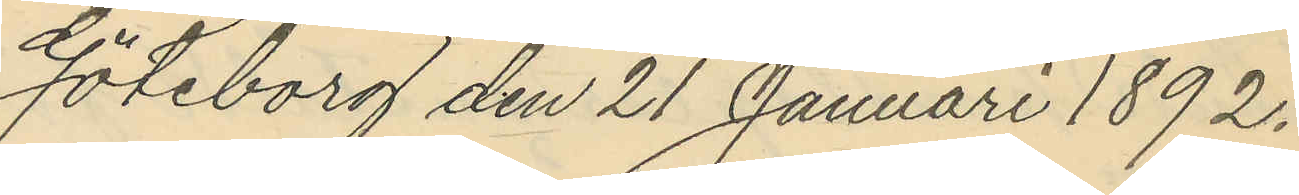Göteborg den 21 Januari 1892.
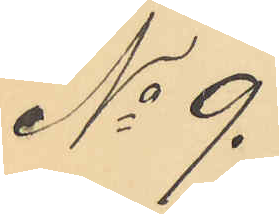No 9.
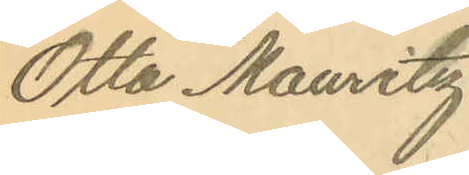Otto Mauritz
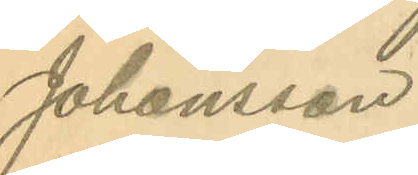Johansson
